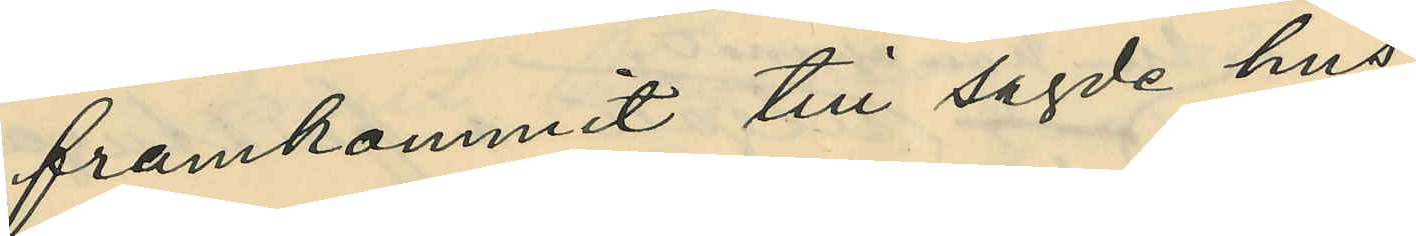framkommit till sagde hus
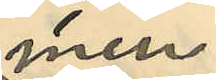men
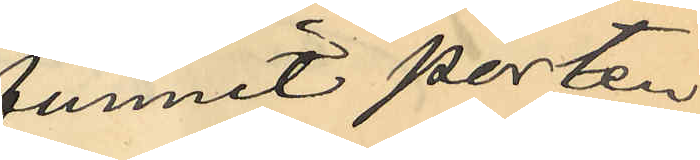funnit porten
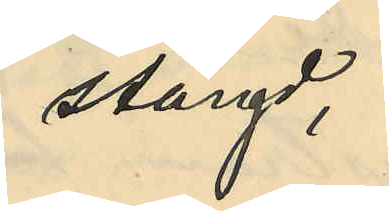stängd,
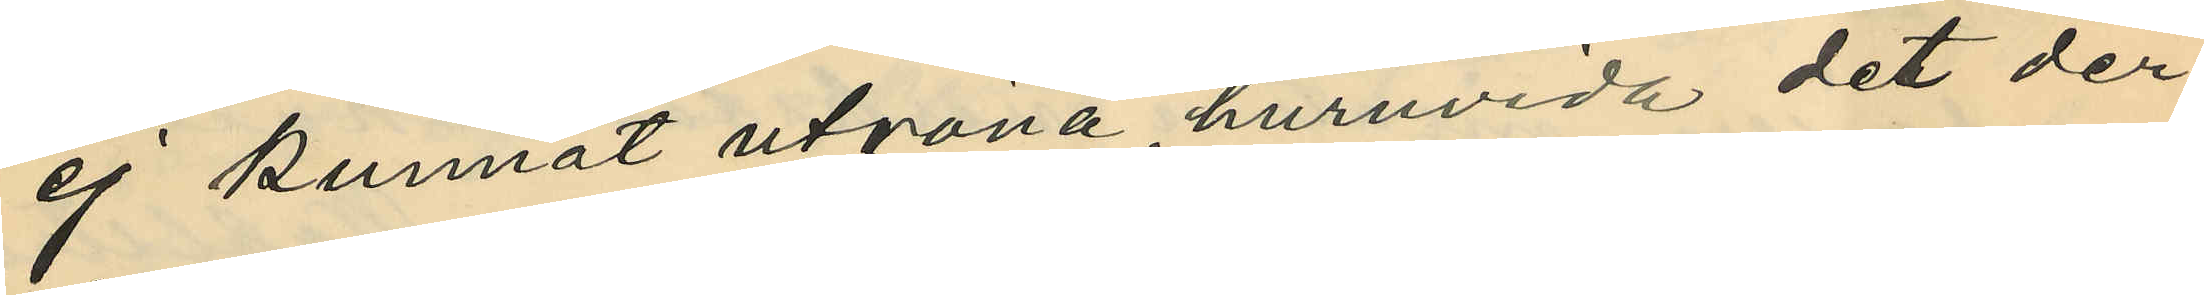ej kunnat utröna, huruvida det der
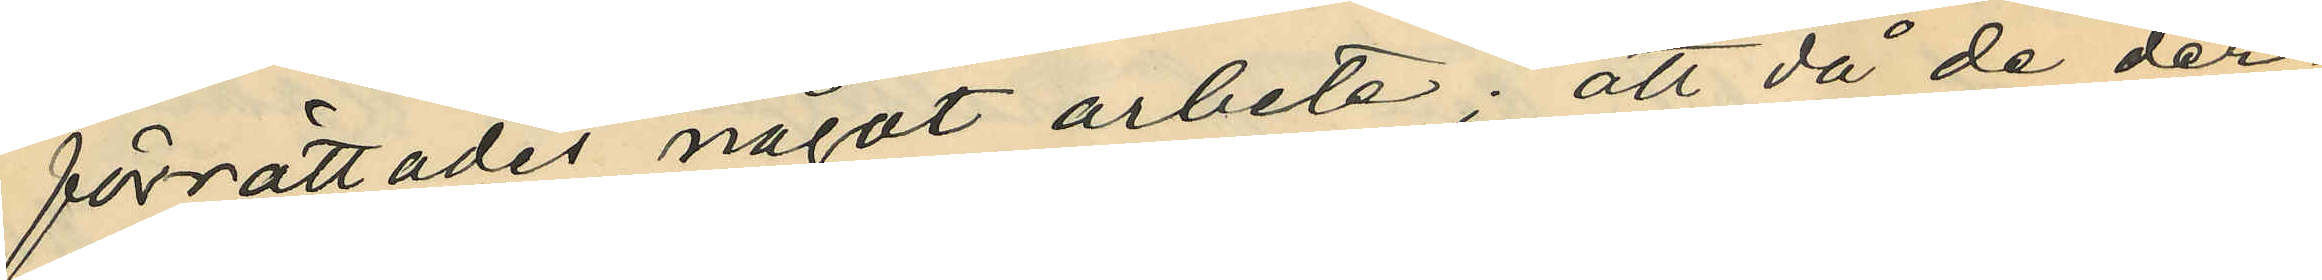förrättades något arbete; att då de der¬
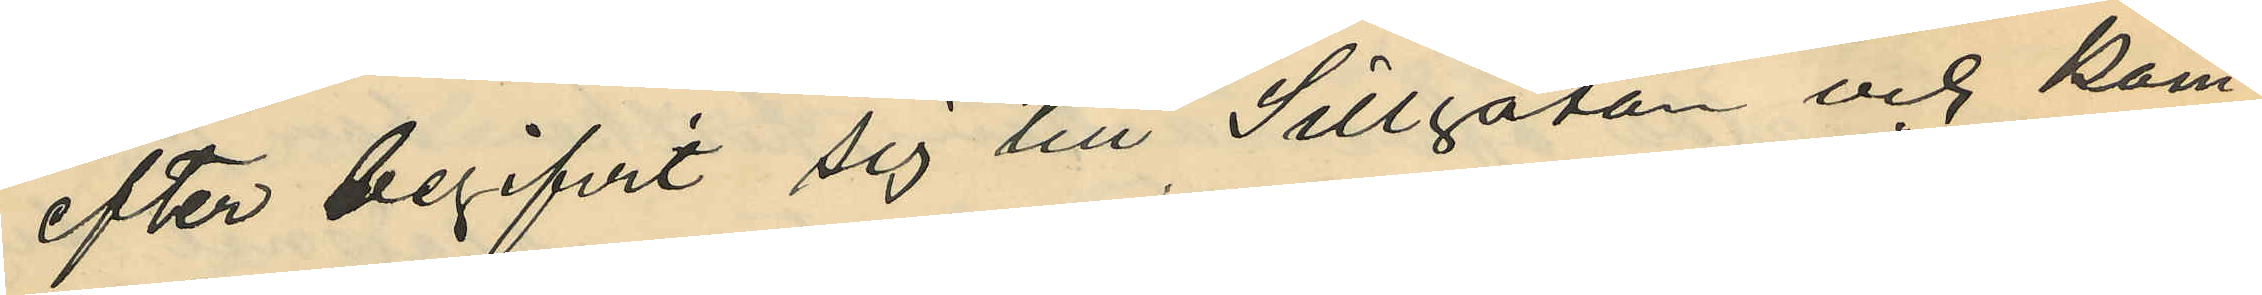efter begifvit sig till Sillgatan och kom¬
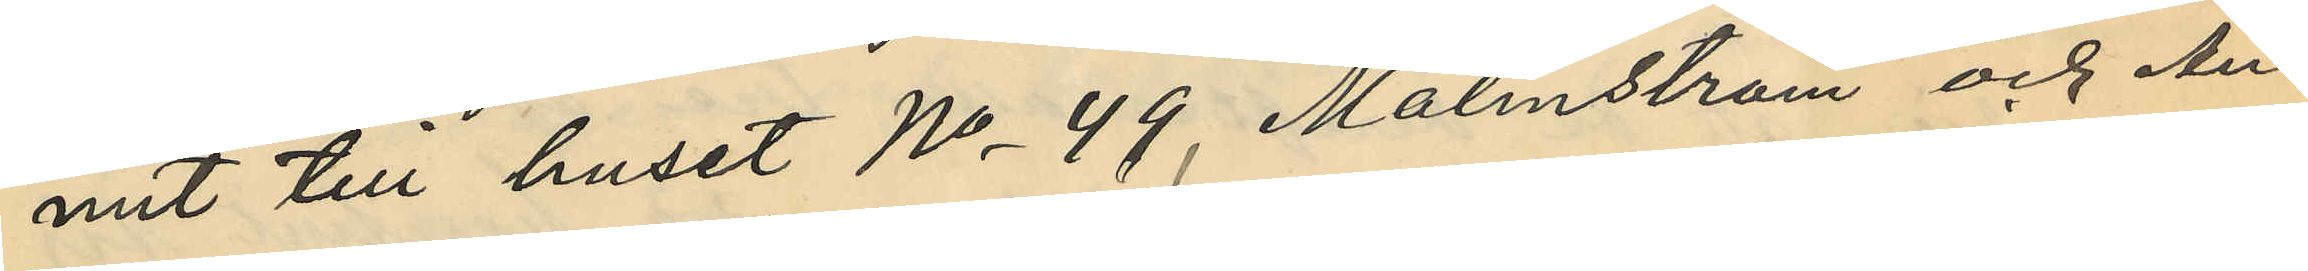mit till huset No 49, Malmström och An¬
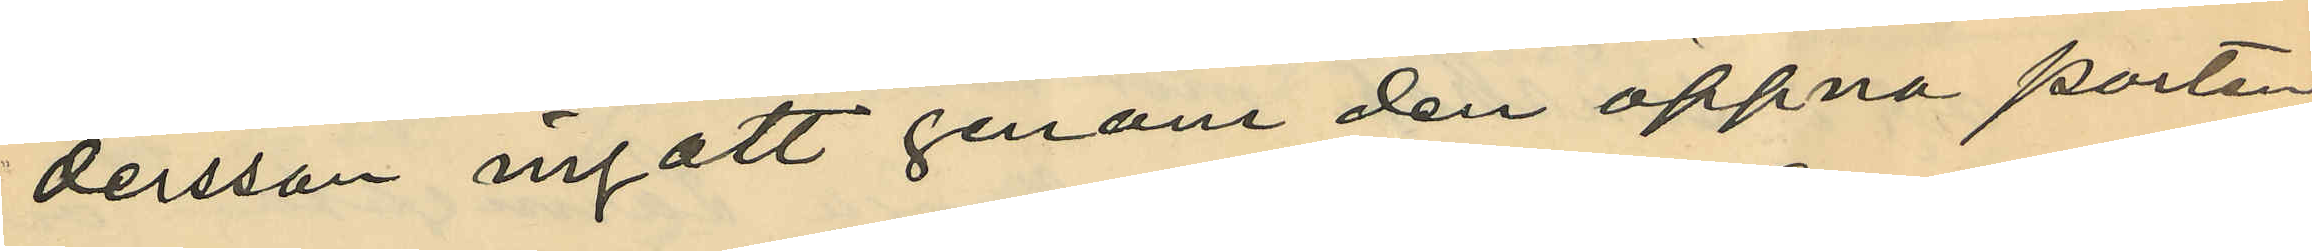dersson ingått genom den öppna porten
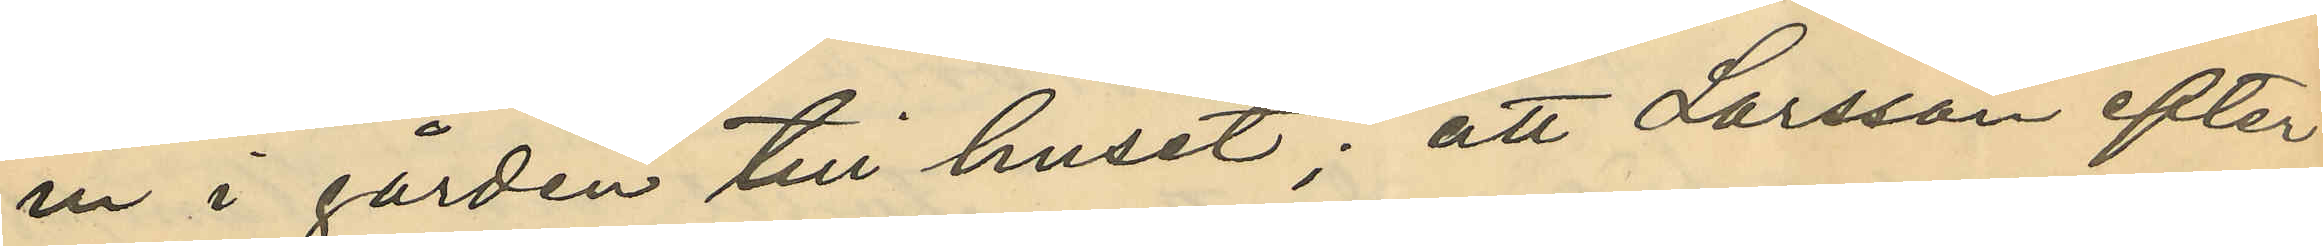in i gården till huset; att Larsson efter
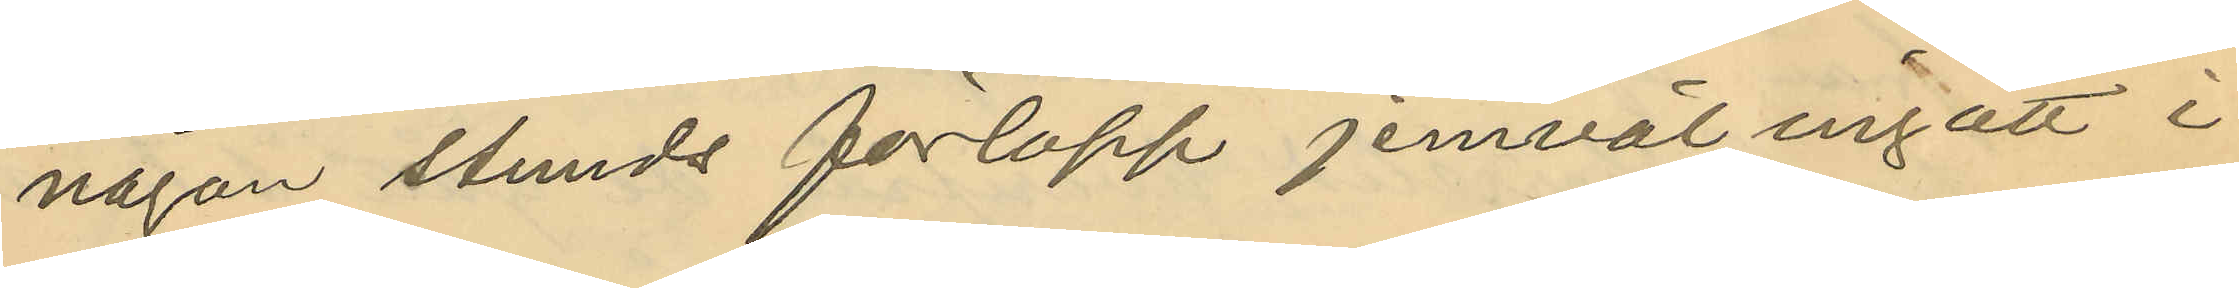någon stunds förlopp jemväl ingått i
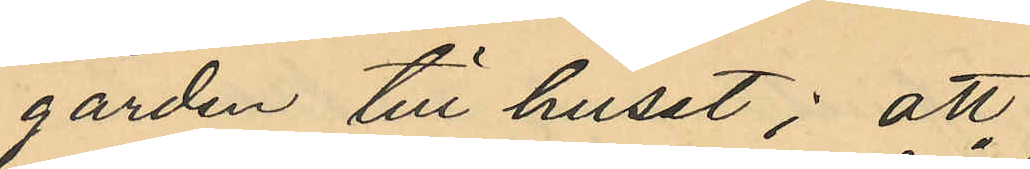gården till huset; att
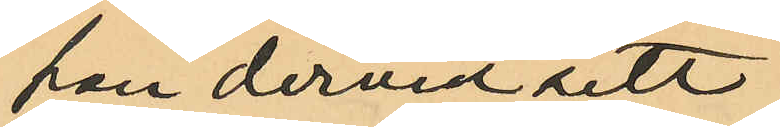han dervid sett
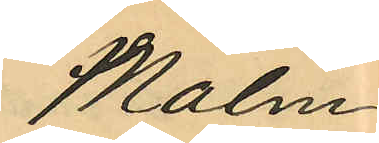Malm¬
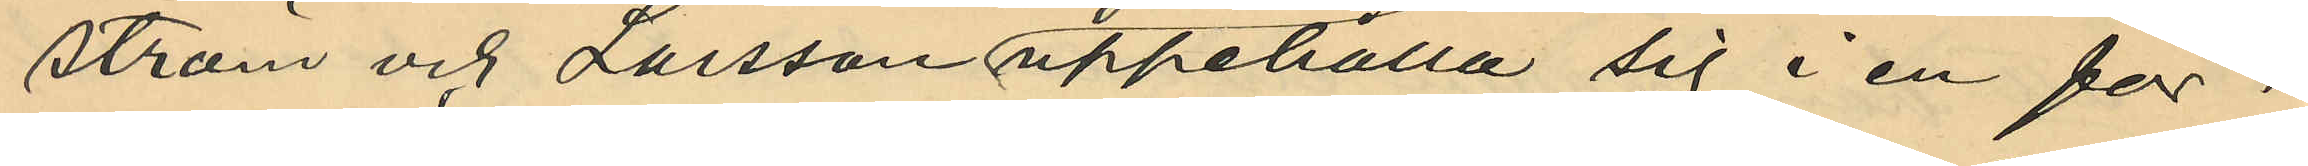ström och Larsson uppehålla sig i en för¬
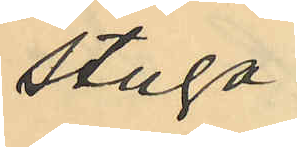stuga
